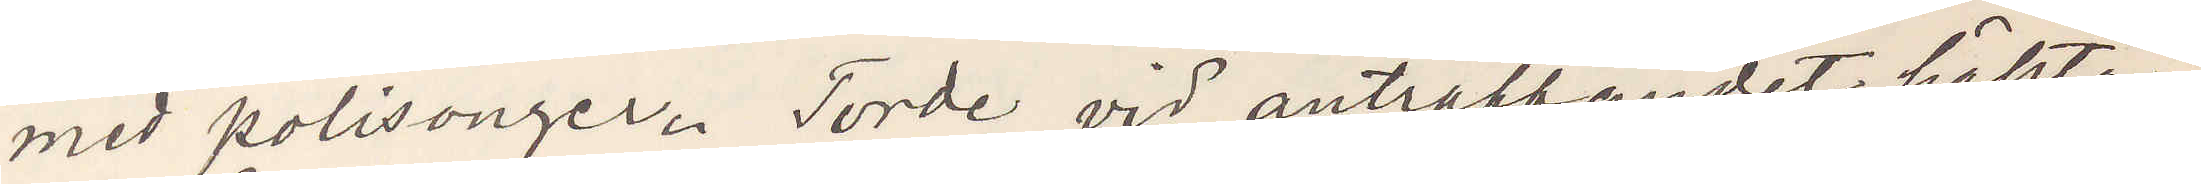med polisonger. Torde vid anträffandet häktas.
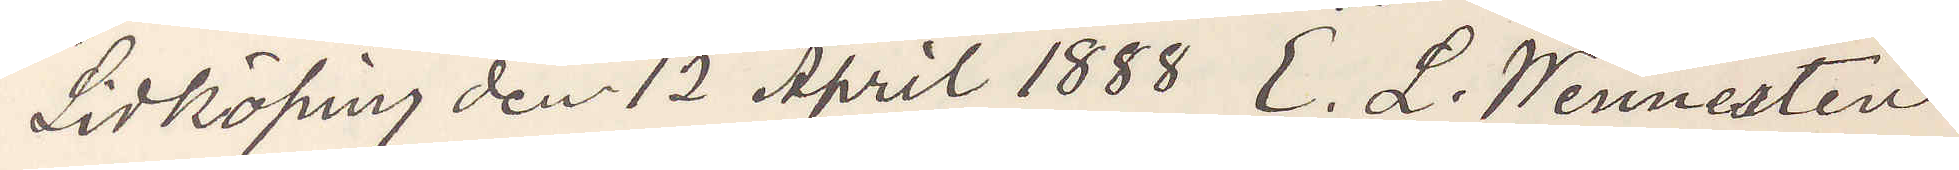Lidköping den 12 April 1888 C. L. Wennesten
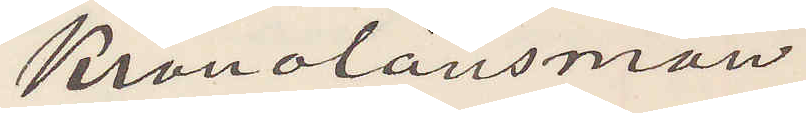Kronolänsman
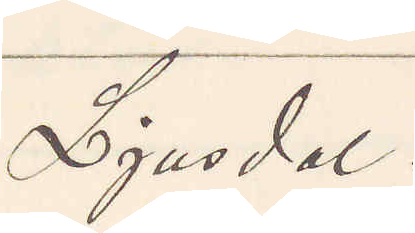Ljusdal.
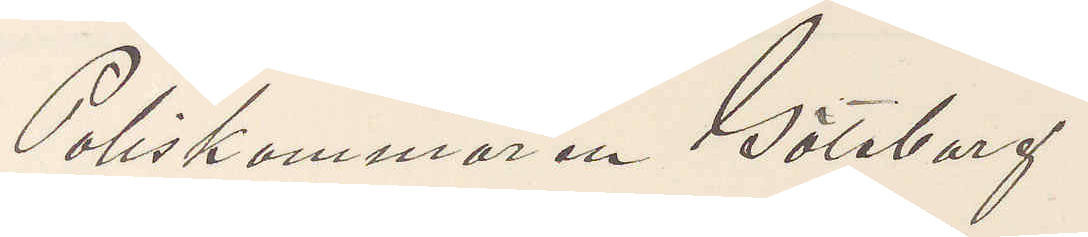Poliskammaren Göteborg
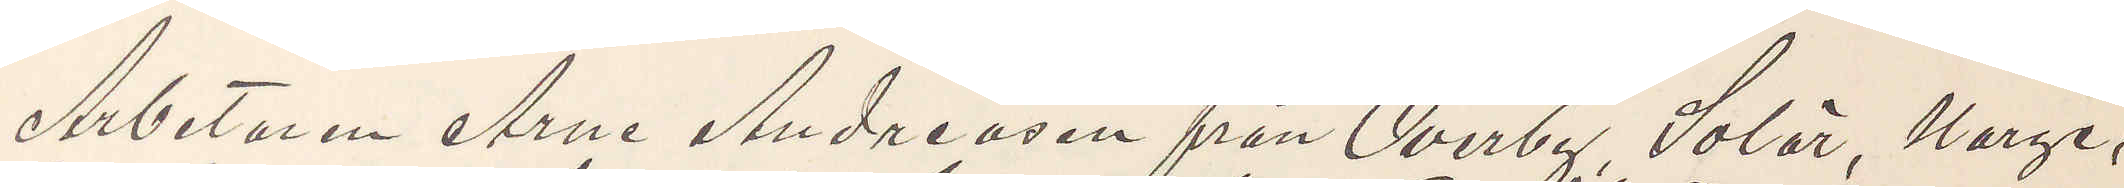Arbetaren Arne Andreasen från Overby, Solär, Norge,
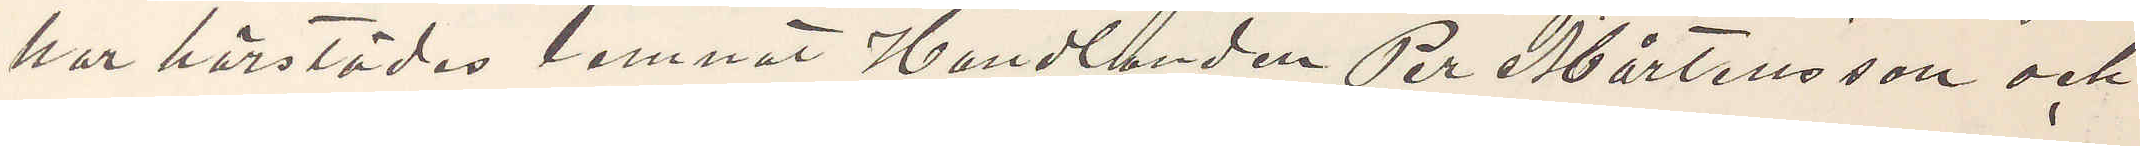har härstädes lemnat Handlanden Per Mårtensson och
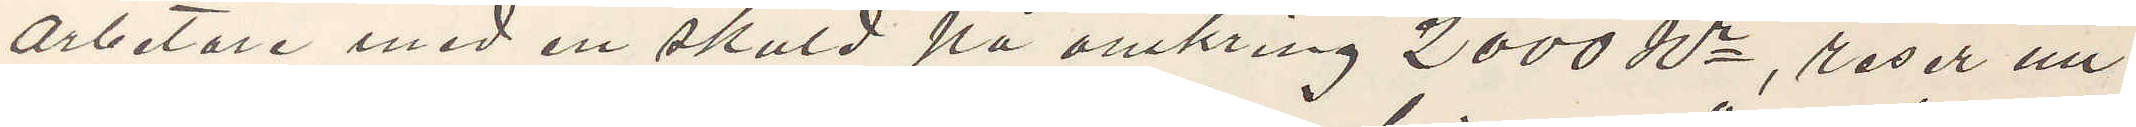arbetare med en skuld på omkring 2000 kr, reser nu
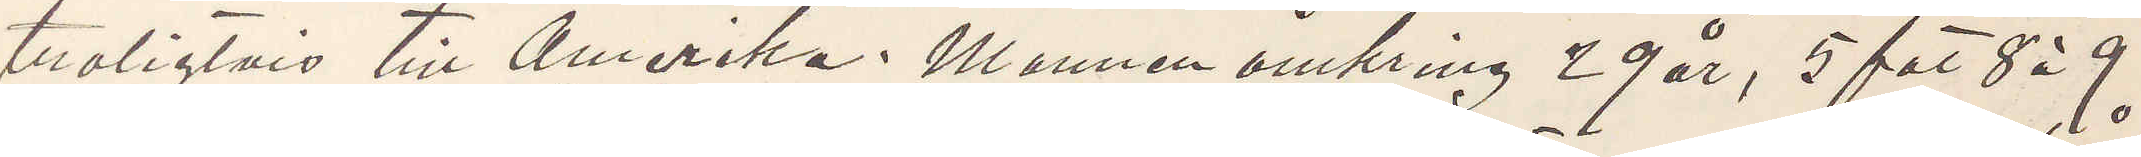troligtvis till Amerika. Mannen omkring 29 år, 5 fot 8 à 9
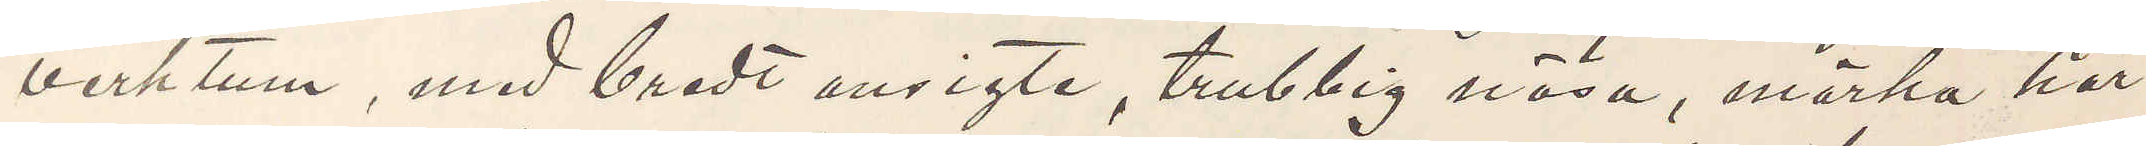verktum, med bredt ansigte, trubbig näsa, mörka hår
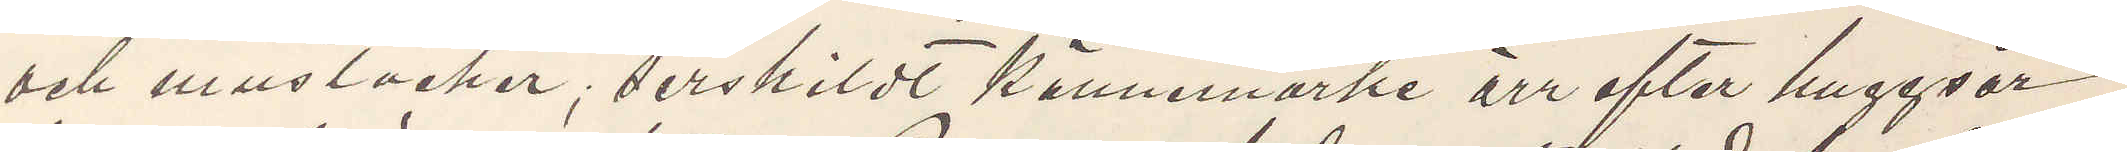och mustacher, serskildt kännemärke ärr efter huggsår
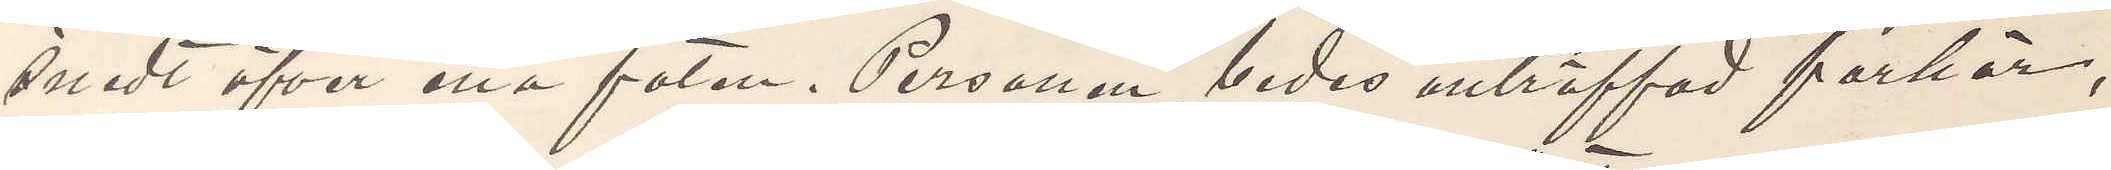snedt öfver ena foten. Personen bedes anträffad förhör,
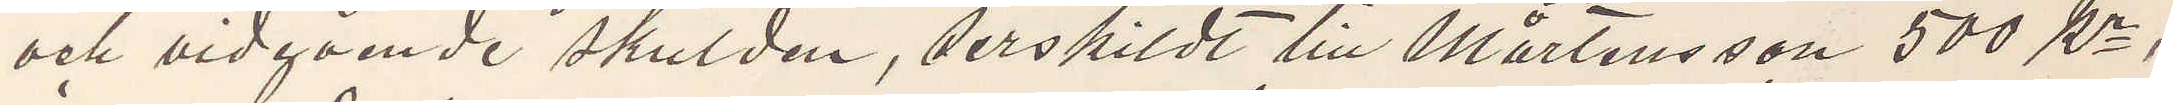och vidgående skulden, serskildt till Mårtensson 500 Kr,
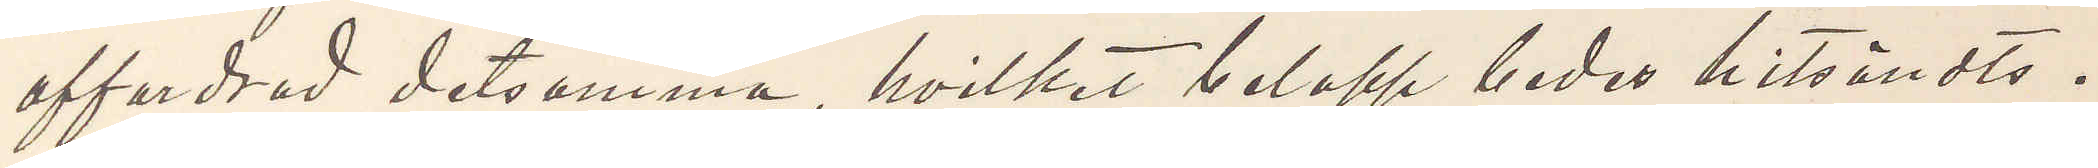affordrad detsamma, hvilket belopp bedes hitsändts.
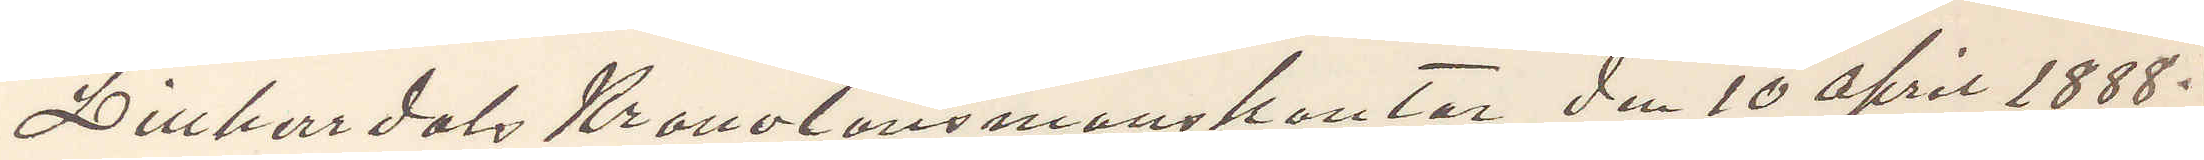Lillherrdal Kronolänsmanskontor den 10 April 1888.
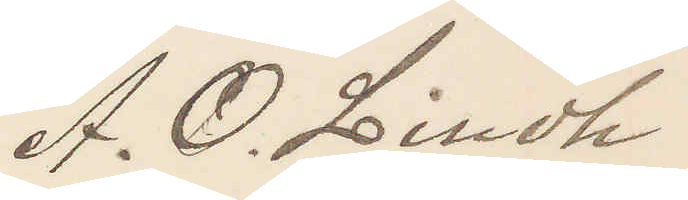A. O. Lindh
